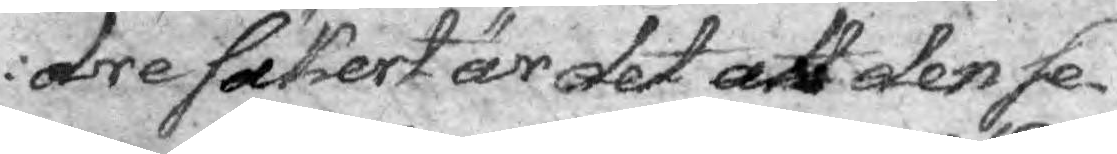dre säkert är det att den se¬
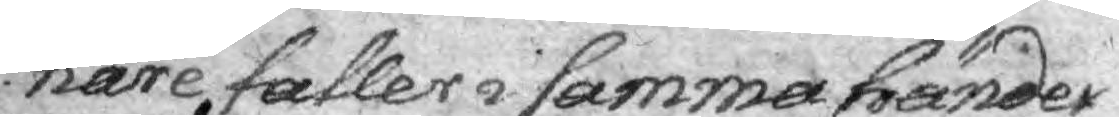nare faller i samma händer
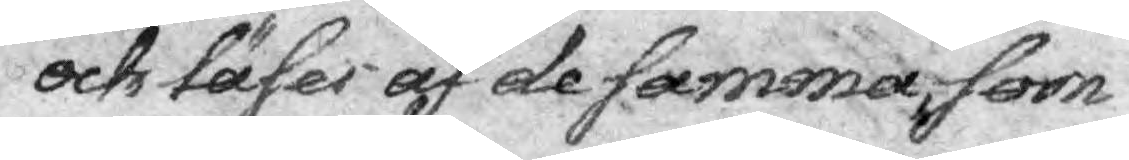och läser af de samma som
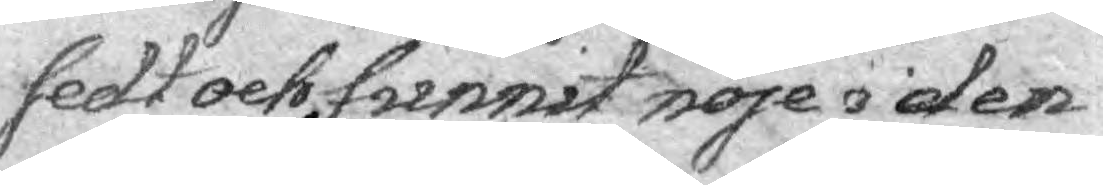sedt och funnit nöje i den
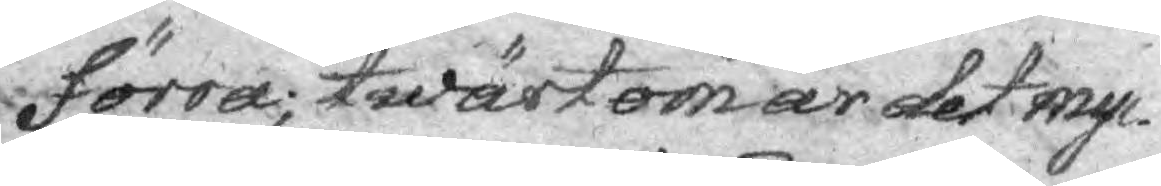förra; twärtom är det myc¬
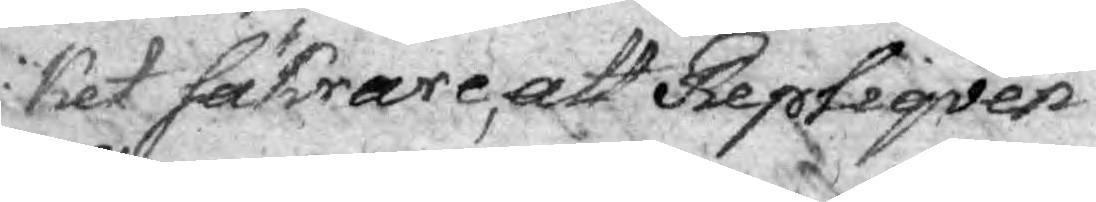ket säkrare, att Repliqven
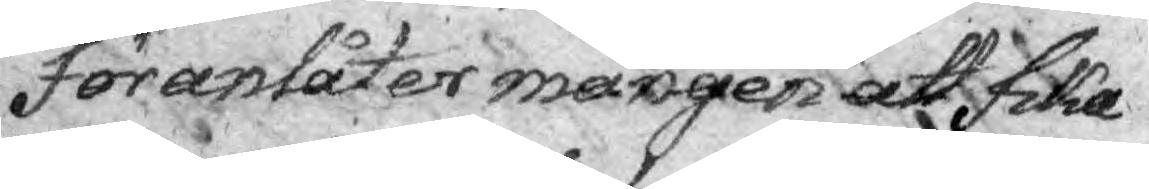föranlåter mången att fika
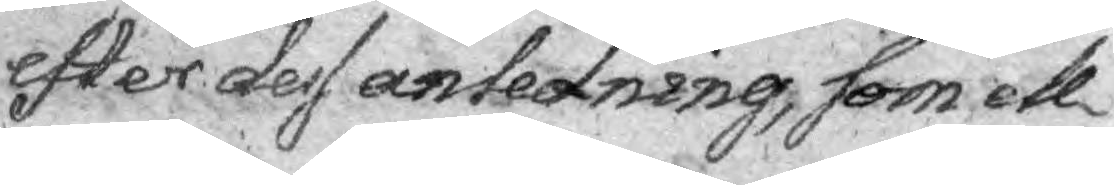efter dess anledning, som ell¬
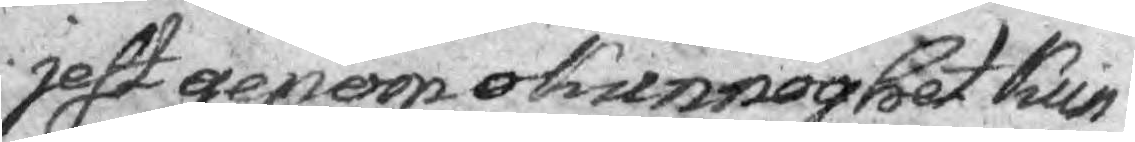jest genom okunnoghet kun¬
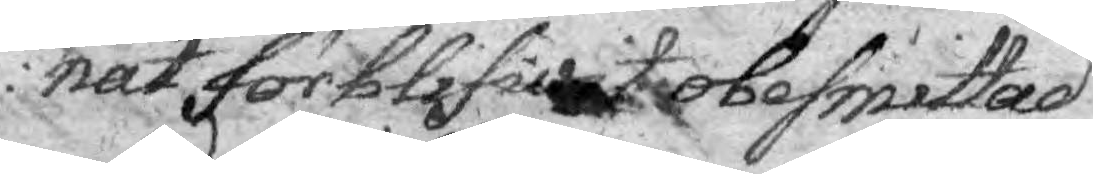nat förblifwitobesmittad
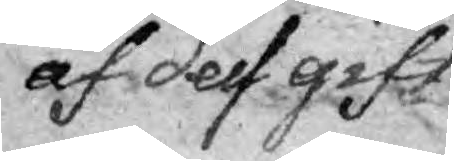af dess gift.
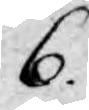6.
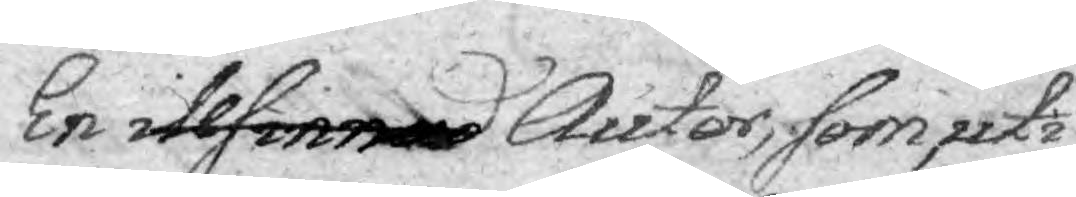En illsinnad Autor, som uti
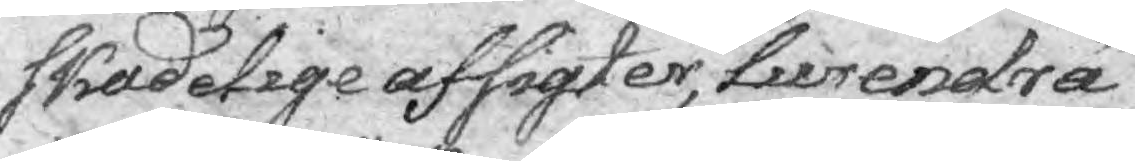skadetege afsigter, Lurendrä¬
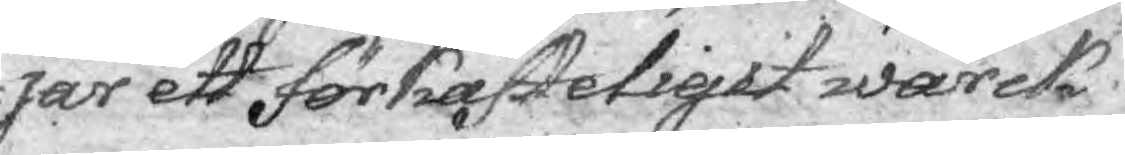jar ett förkasteligit wärck
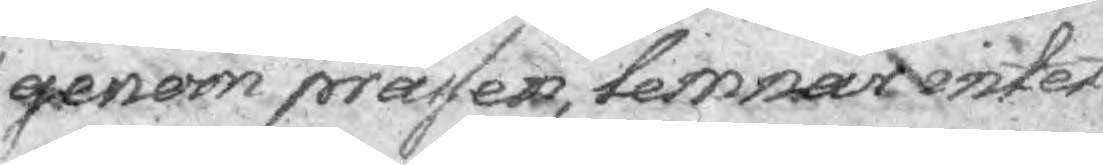genom prässen, lemnar intet
